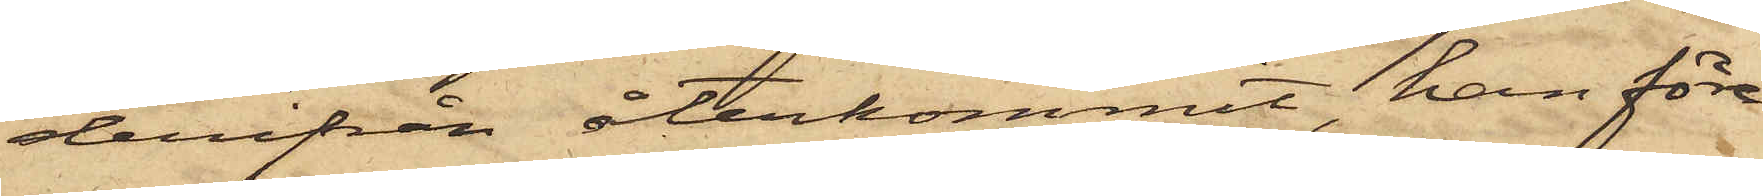derifrån återkommit, han före¬
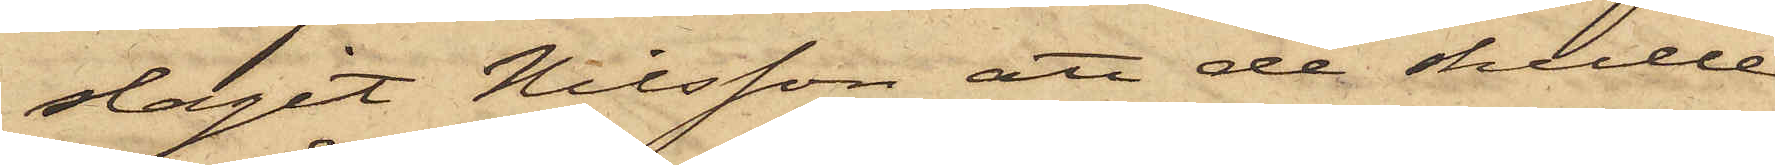slagit Nilsson att de skulle
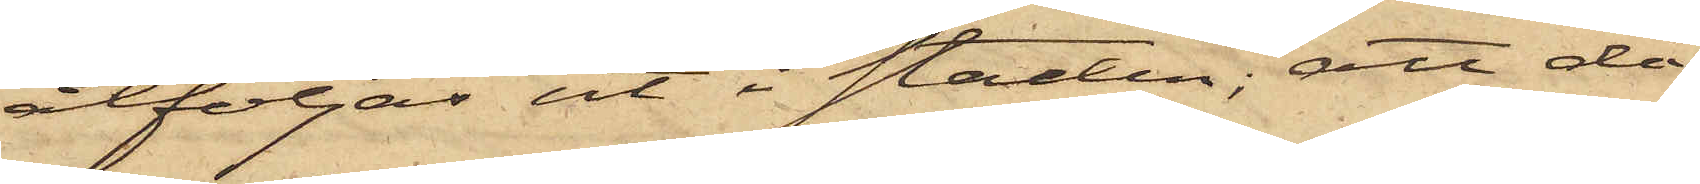åtföljas ut i Staden; att då
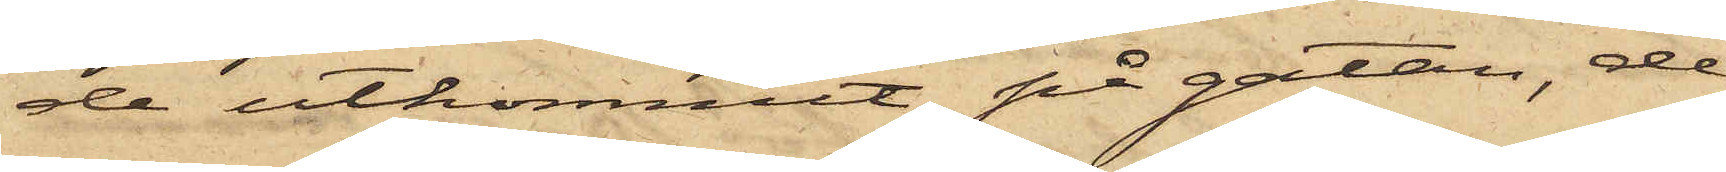de utkommit på gatan, de
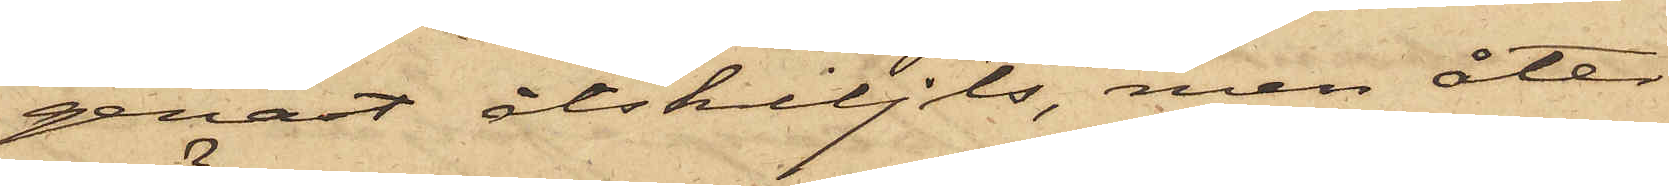genast åtskiljts, men åter
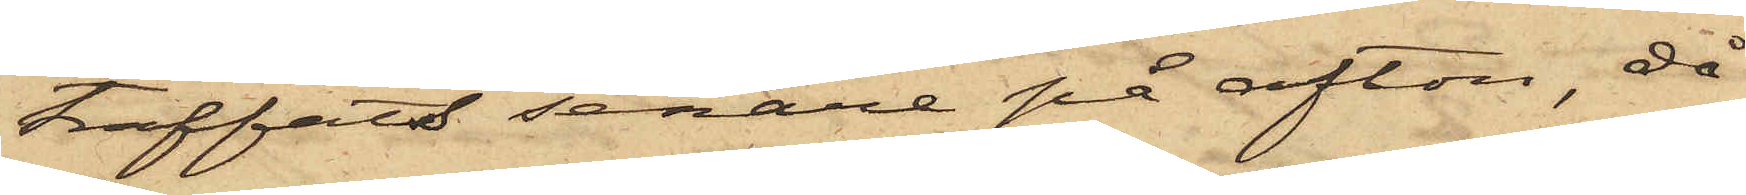träffats senare på afton, då
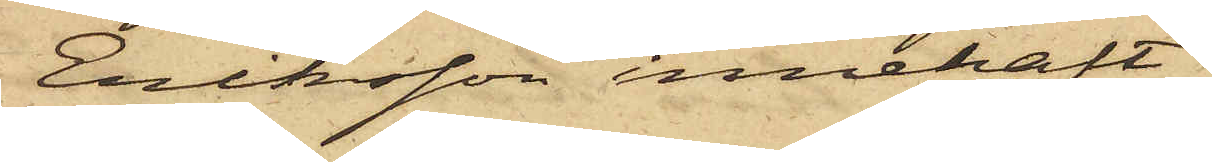Eriksson innehaft
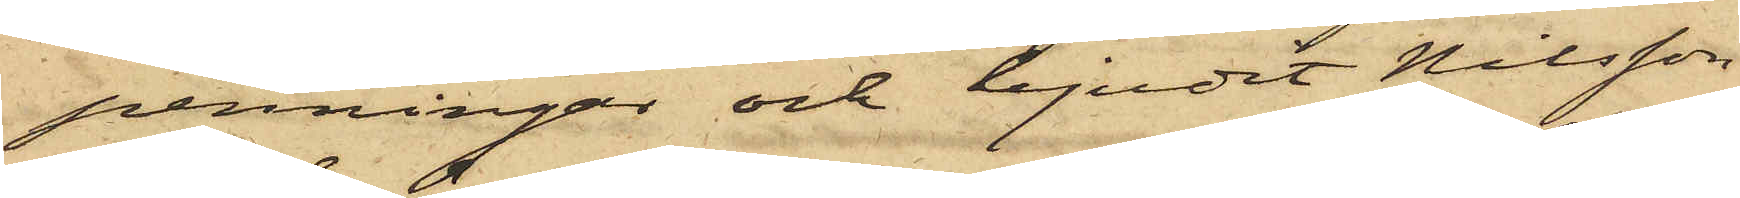penningar och bjudit Nilsson
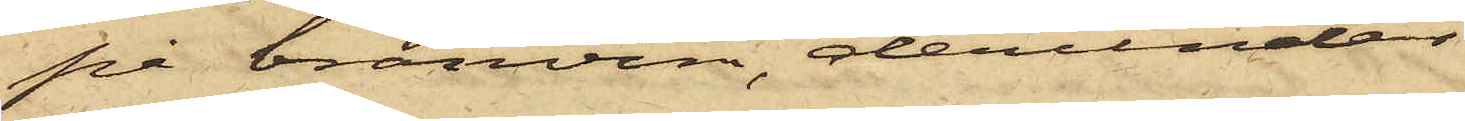på bränvin, derunder
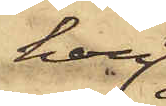han
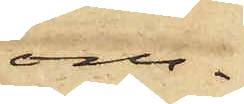om¬
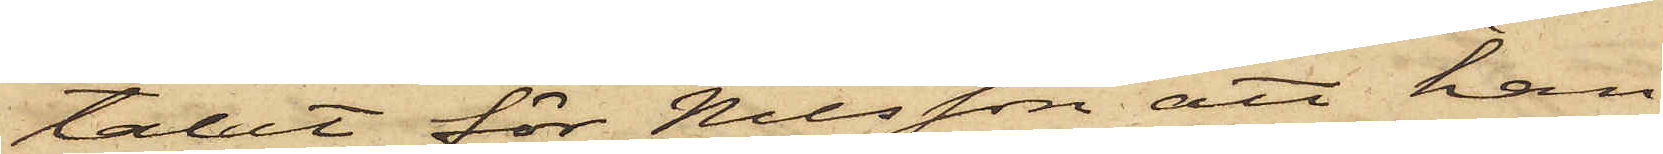talat för Nilsson att han
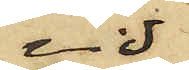vid
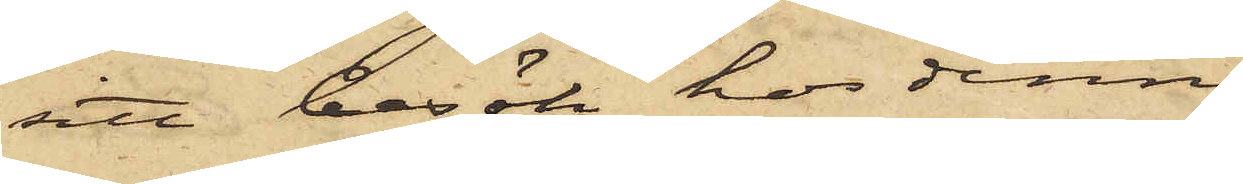sitt besök hos denne
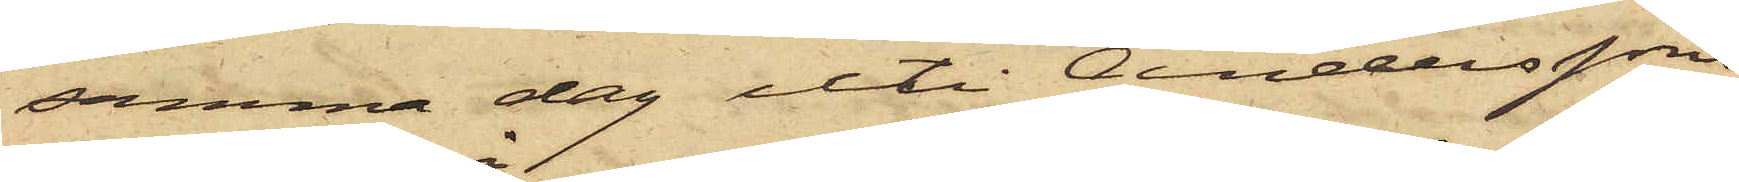samma dag uti Anderssons
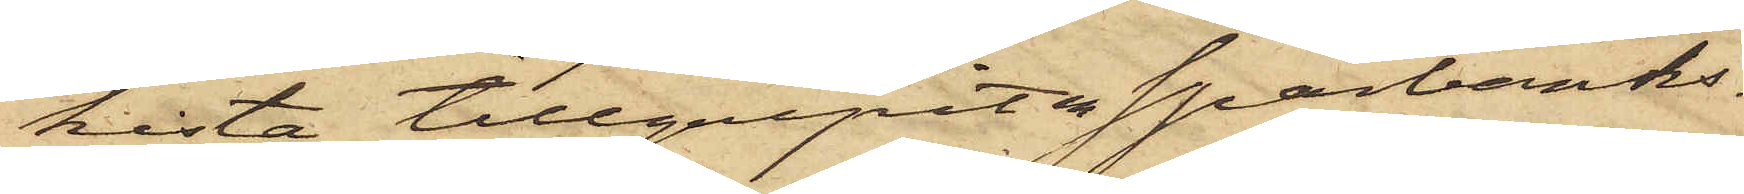kista tillgripit en Sparbanks¬
